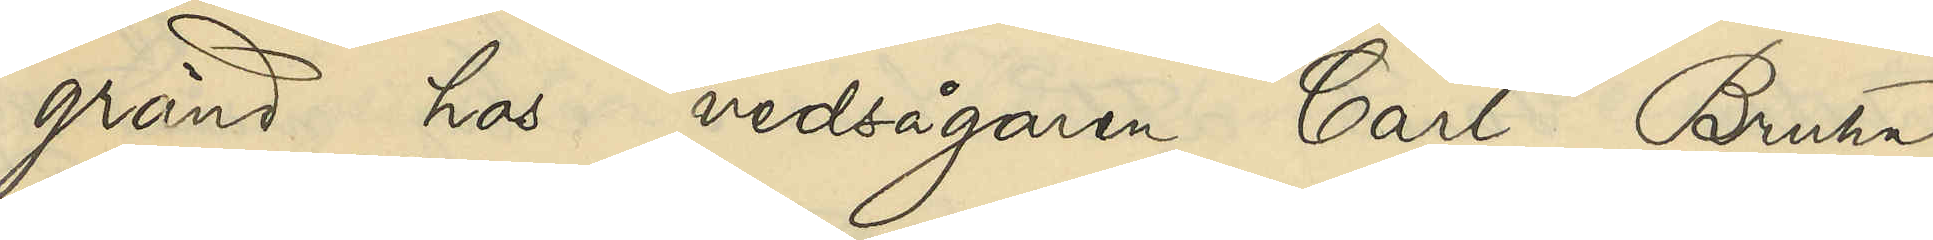gränd hos vedsågaren Carl Bruhn
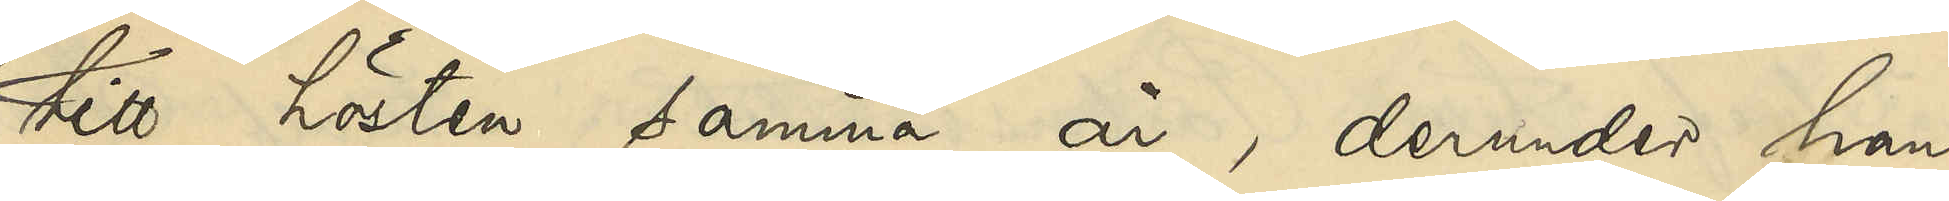till hösten samma år, derunder han
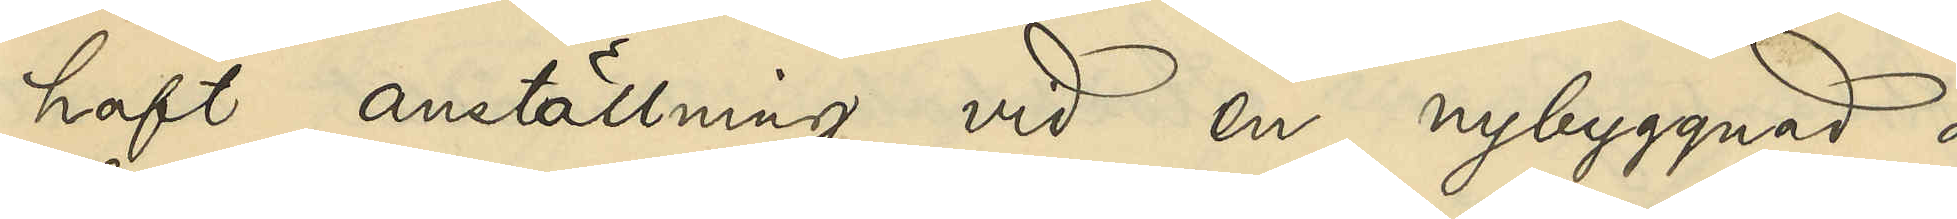haft anställning vid en nybyggnad å
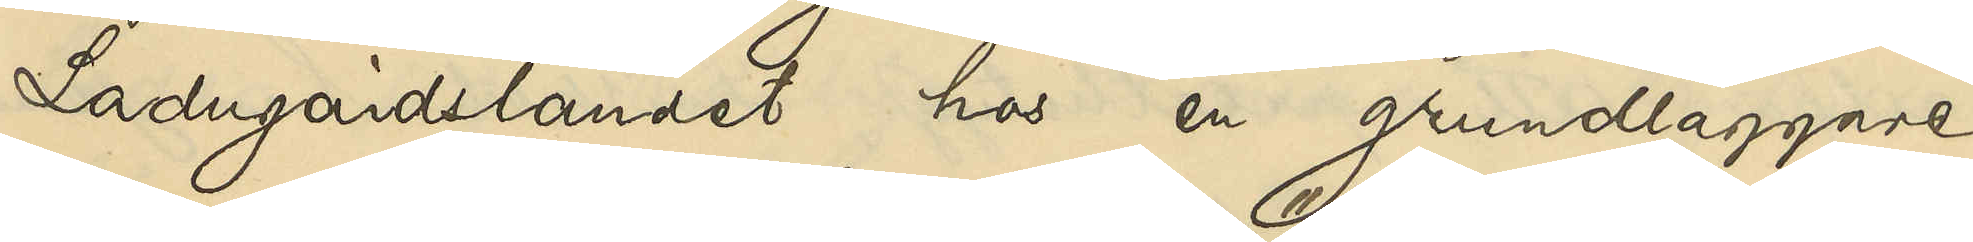Ladugårdslandet hos en grundläggare
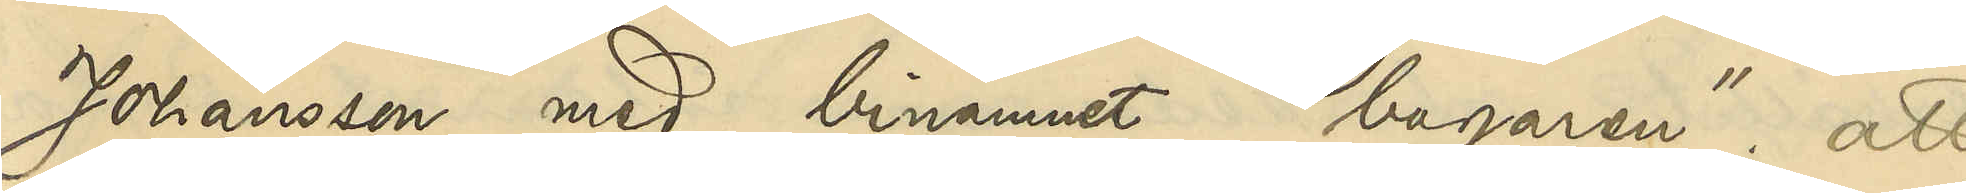Johansson med binamnet "bagaren"; att
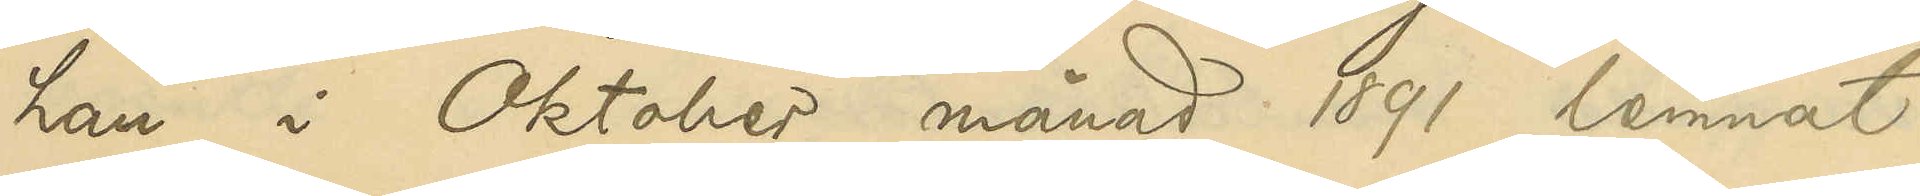han i Oktober månad 1891 lemnat
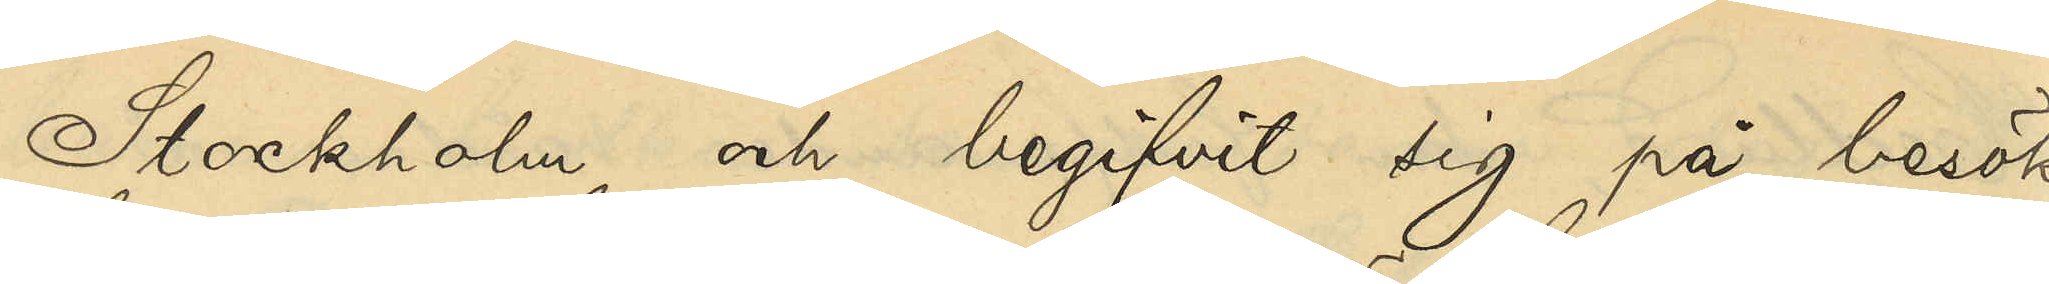Stockholm och begifvit sig på besök
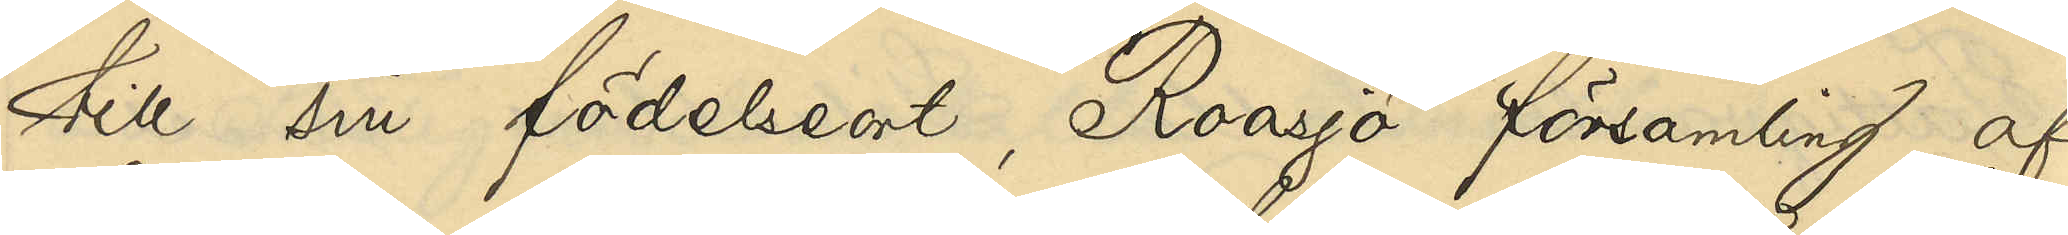till sin födelseort, Roasjö församling af
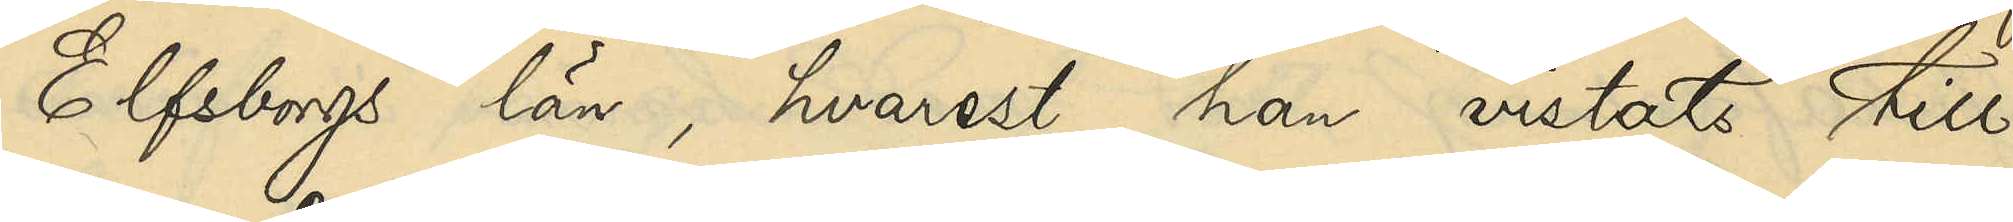Elfsborgs län, hvarest han vistats till
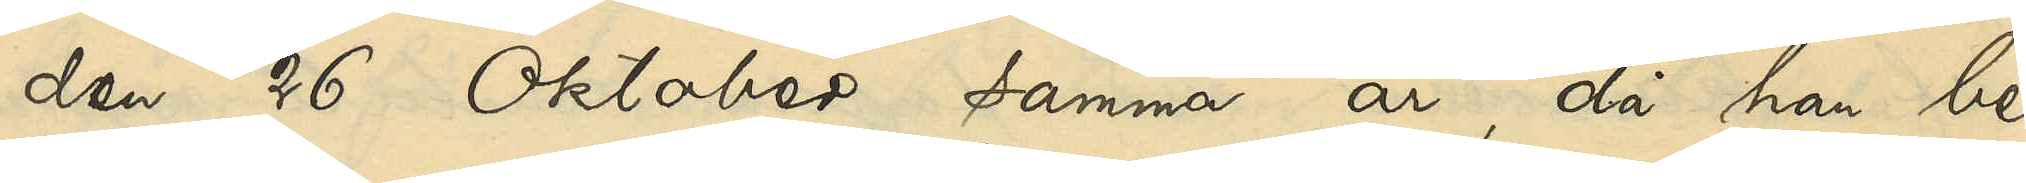den 26 Oktober samma år, då han be¬
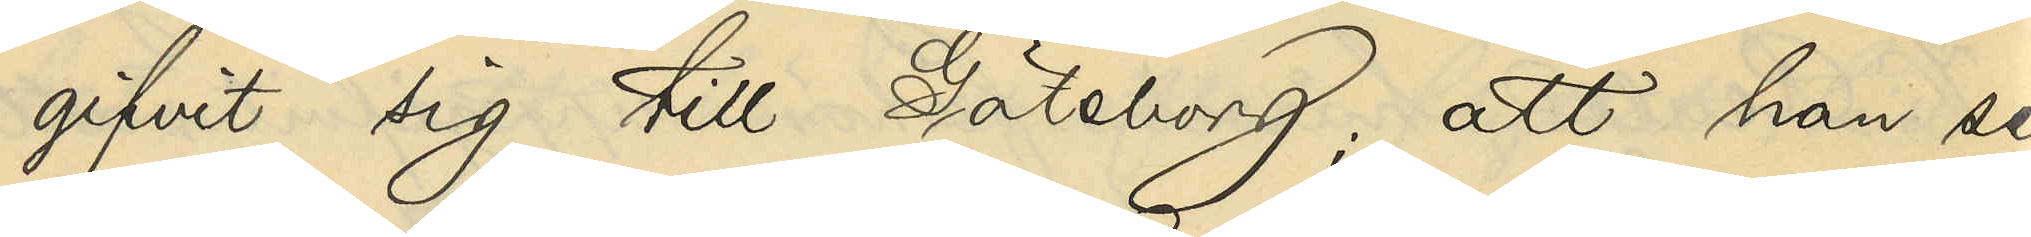gifvit sig till Göteborg; att han se¬
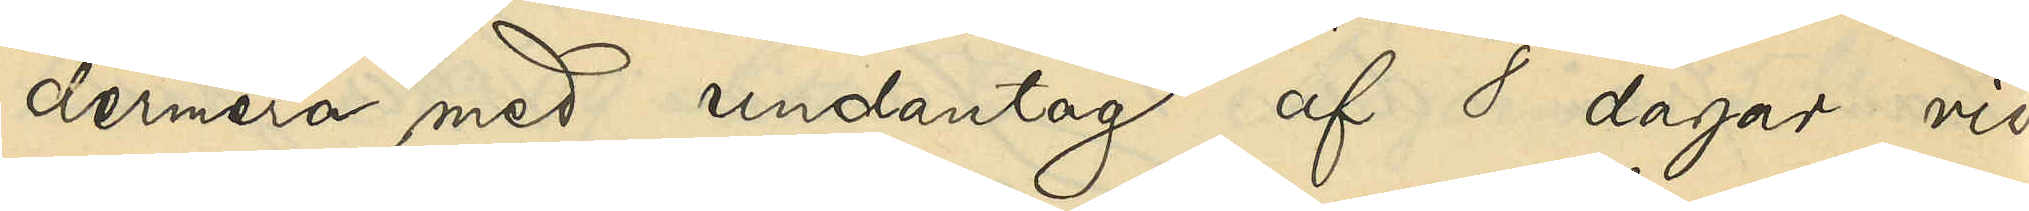dermera med undantag af 8 dagar vid
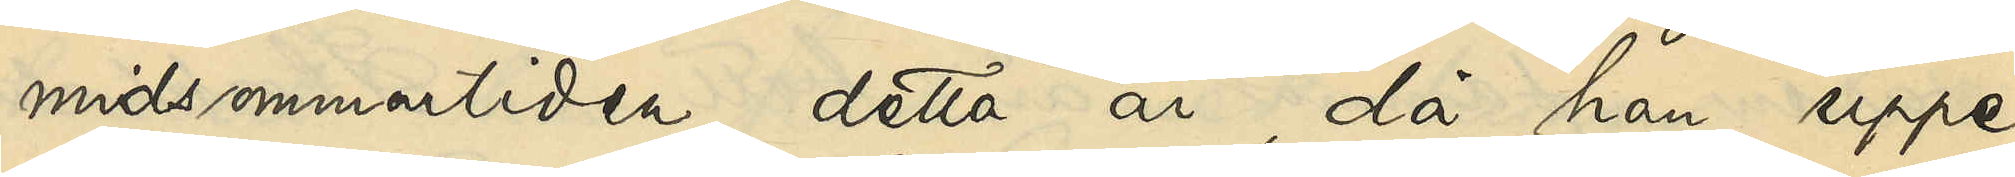midsommartiden detta år, då han uppe¬
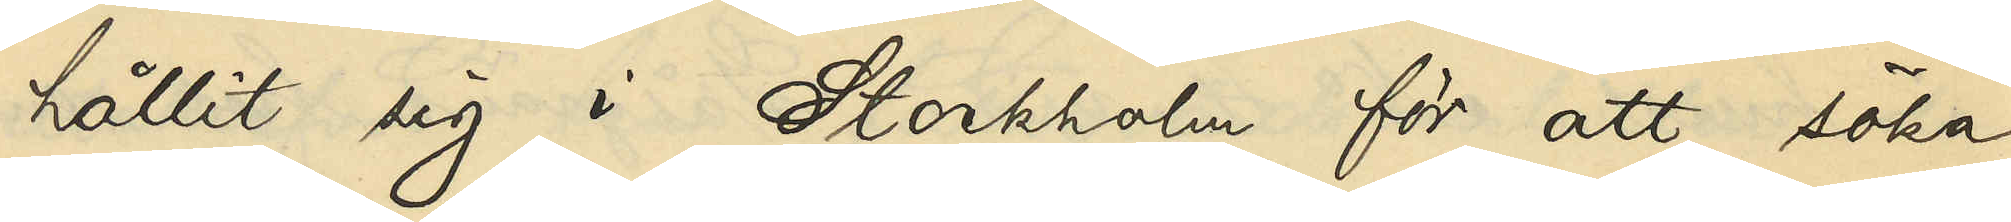hållit sig i Stockholm för att söka
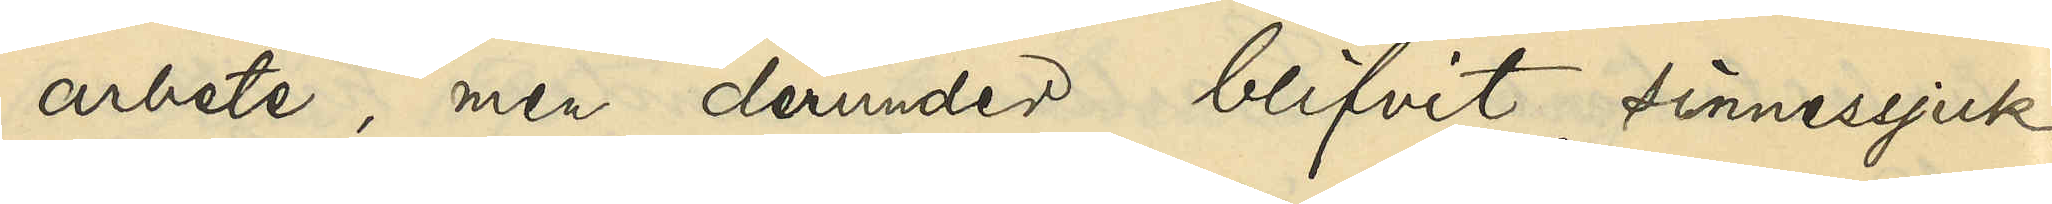arbete, men derunder blifvit sinnessjuk
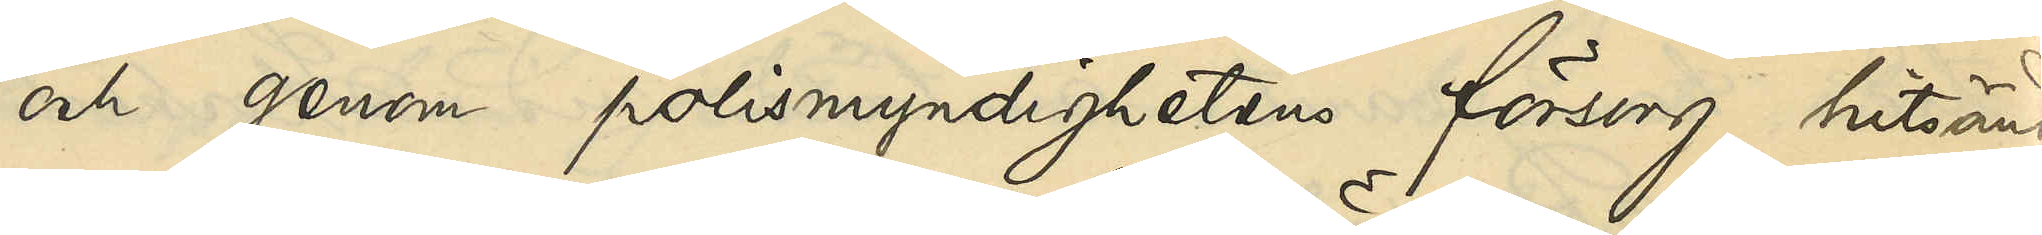och genom polismyndighetens försorg hitsänd,
